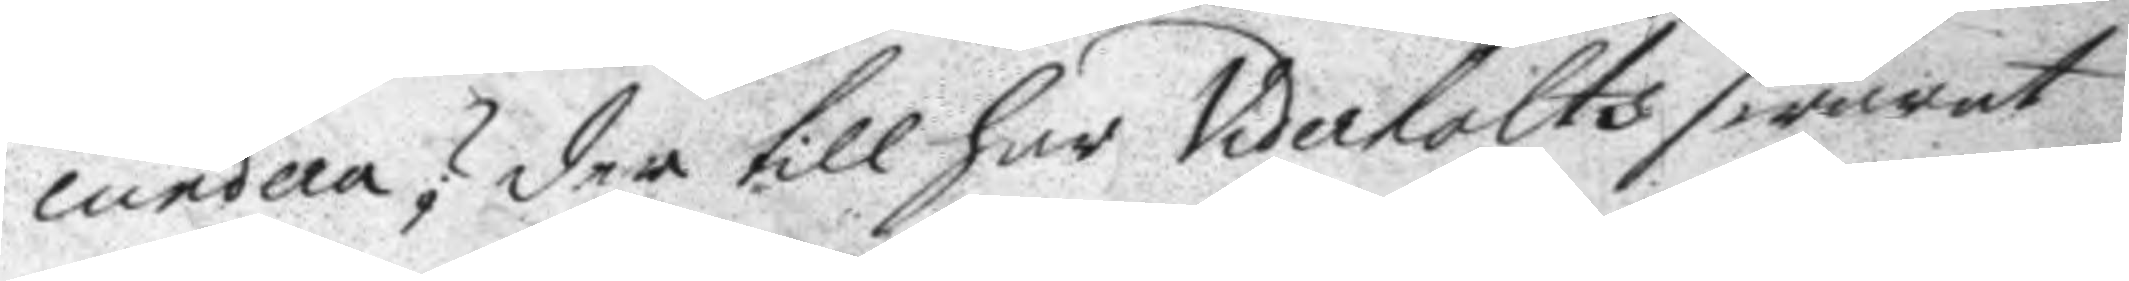cundera? der till har Viderholts swarat
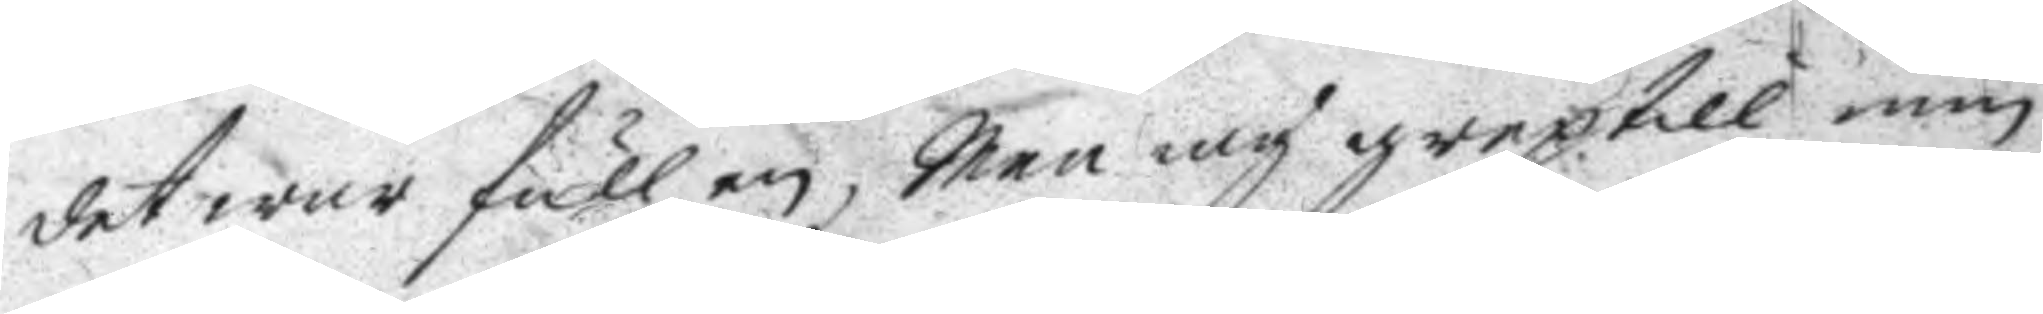det war full en, Men iag grep till min
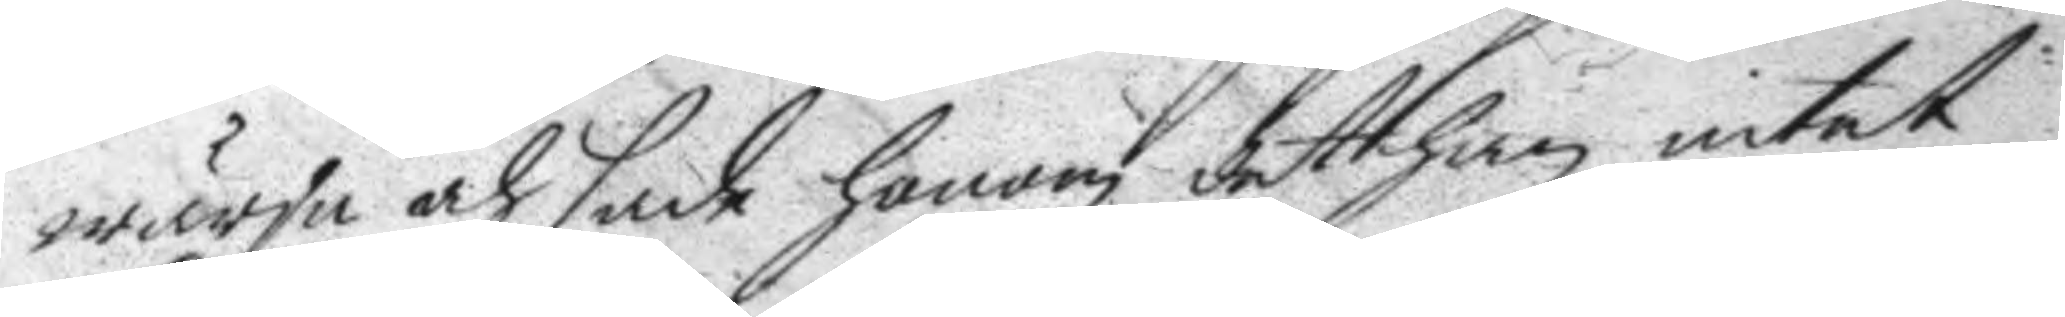wärja och sade honom det han intet
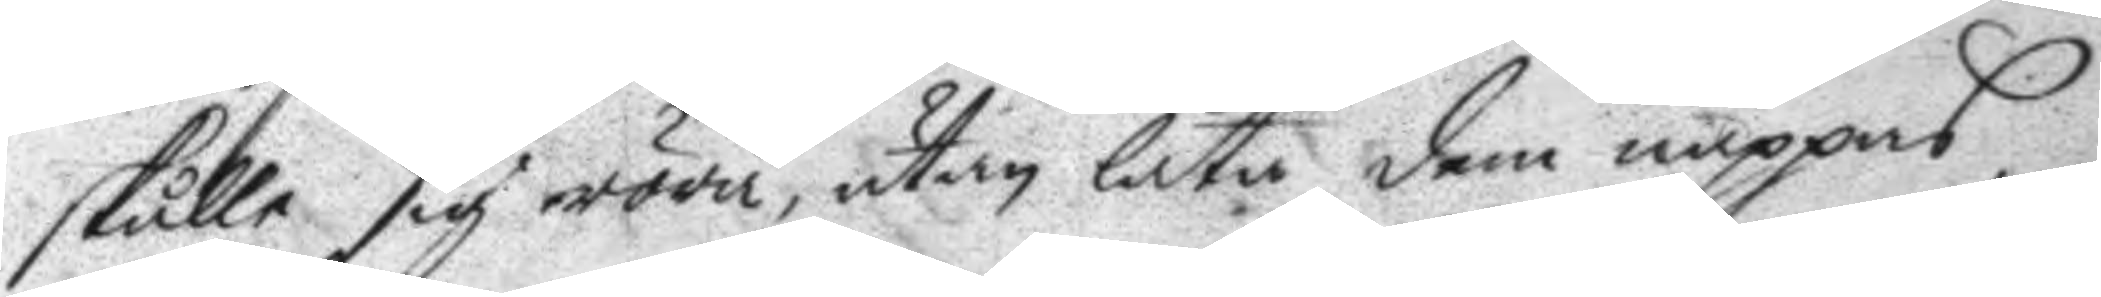skulle sig röra, utan låta dem näppas,
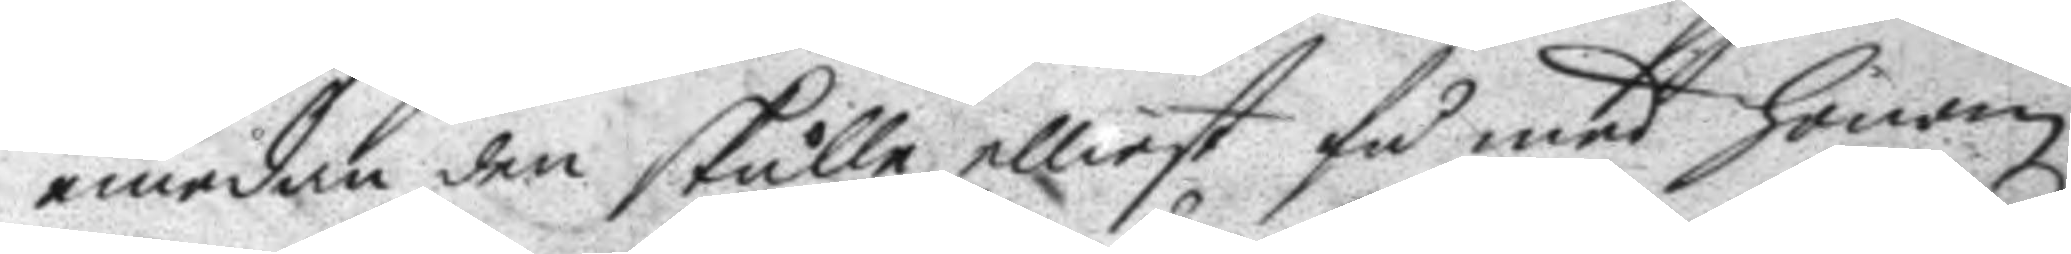emedan den skulle elliest få med honom
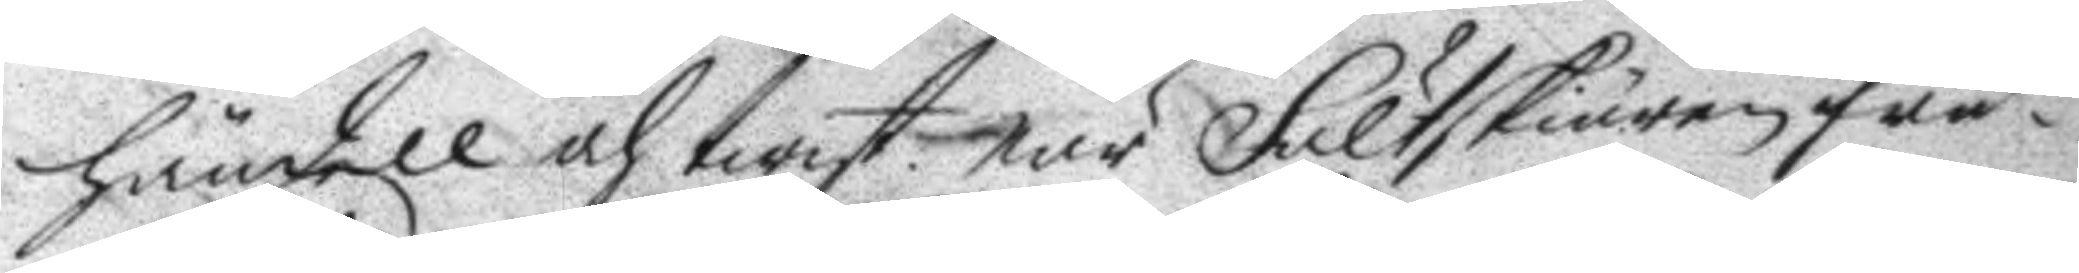händell och twist. när Fältskiären frå¬
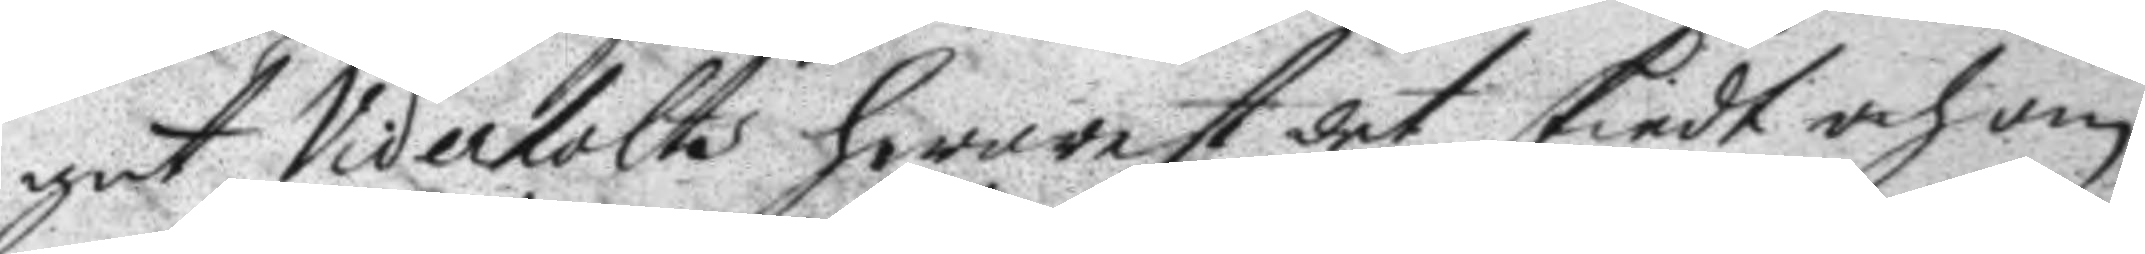gat Viderholts hwarest det skiedt och om
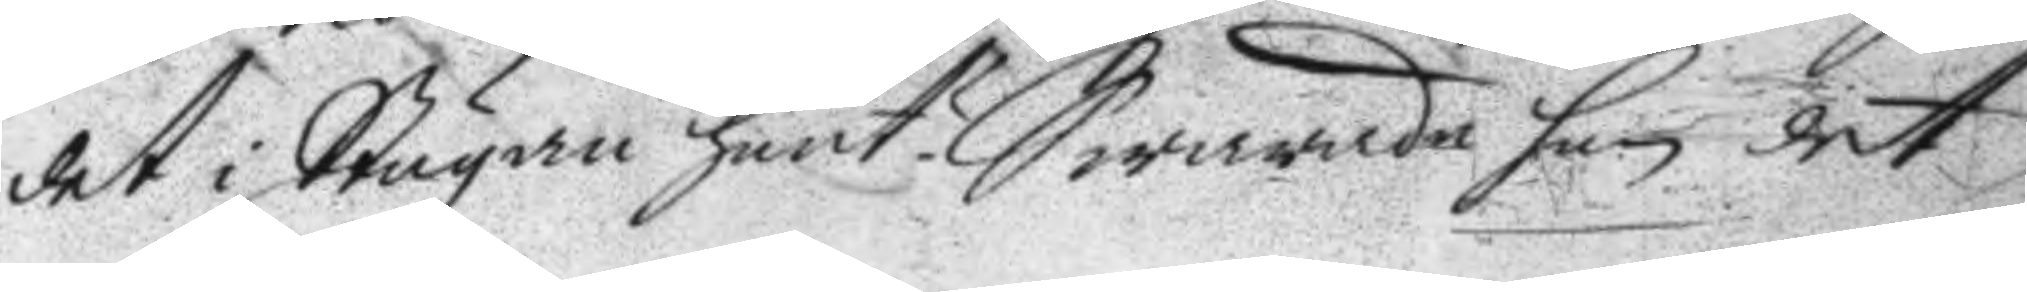det i Stugan hänt? Swarade han det
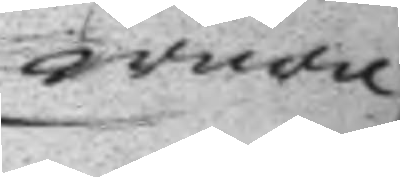wore
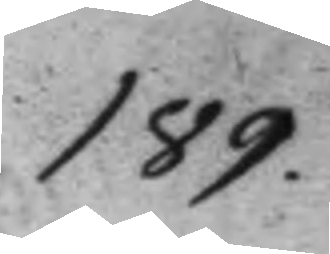189.
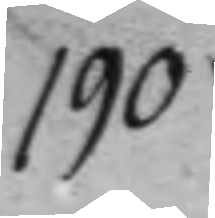190.
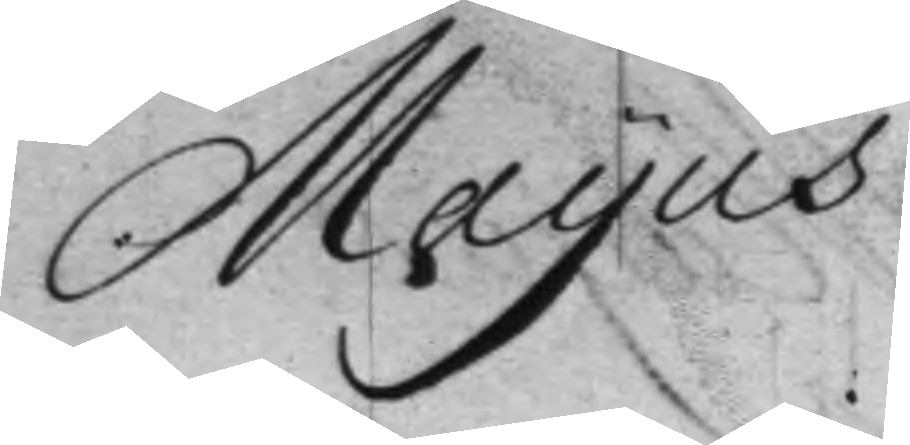Mayus
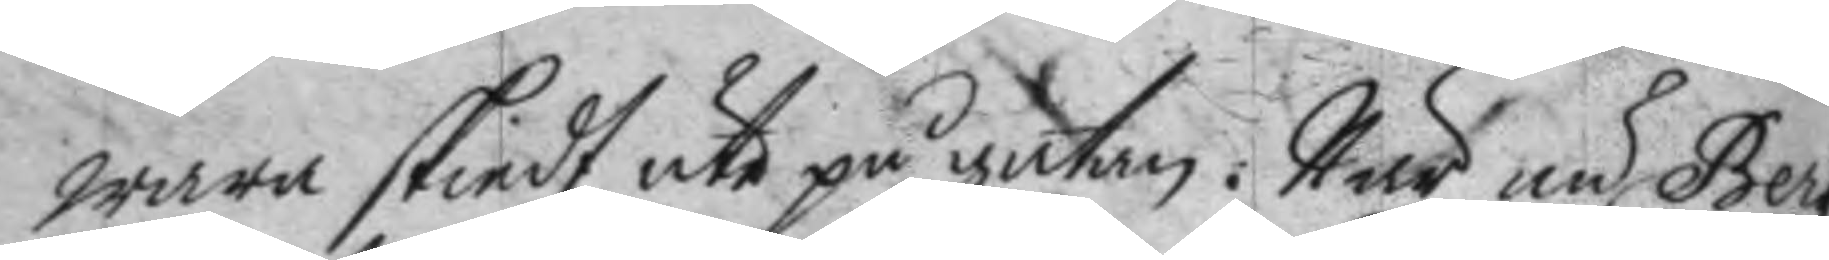wara skiedt ute på gatan. När nu Berg
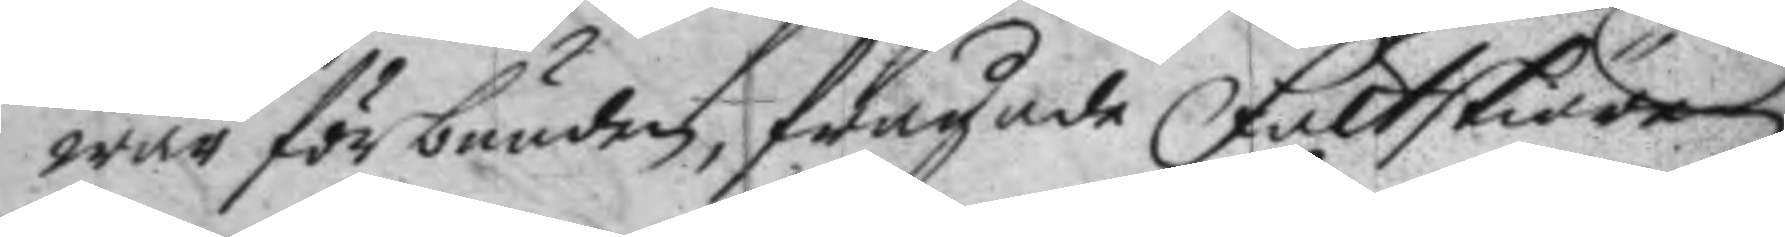war förbunden frågade Fältskiären
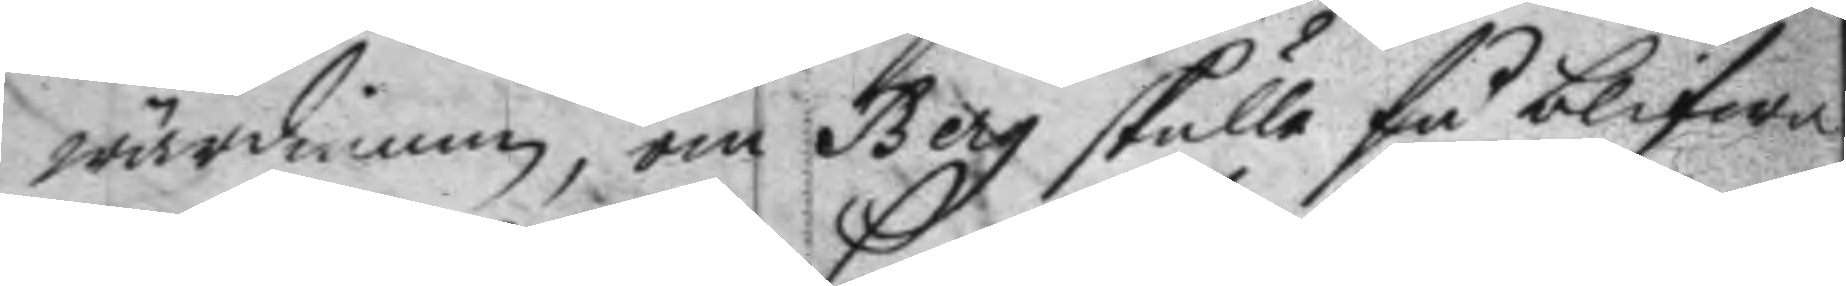wärdinnan, om Berg skulle få blifwa
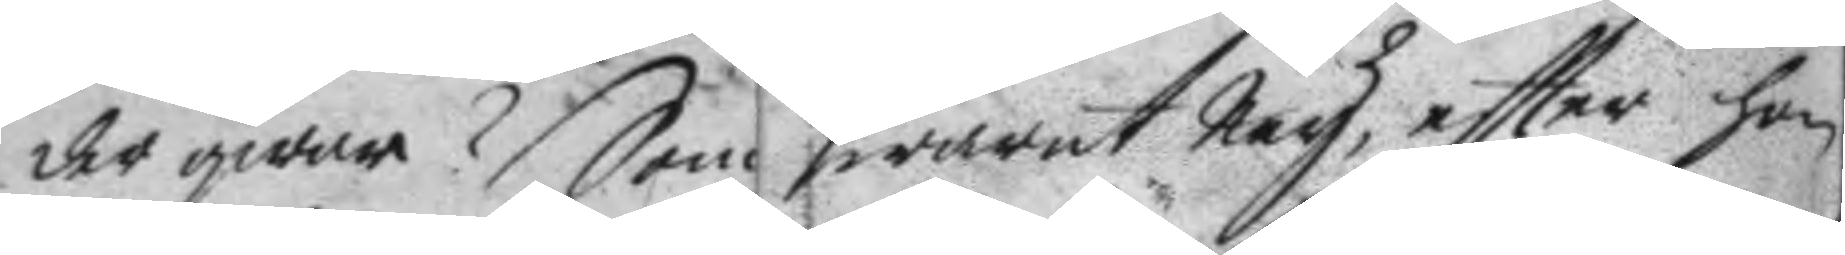der qwar? Som swarat Ney, eftter hon
